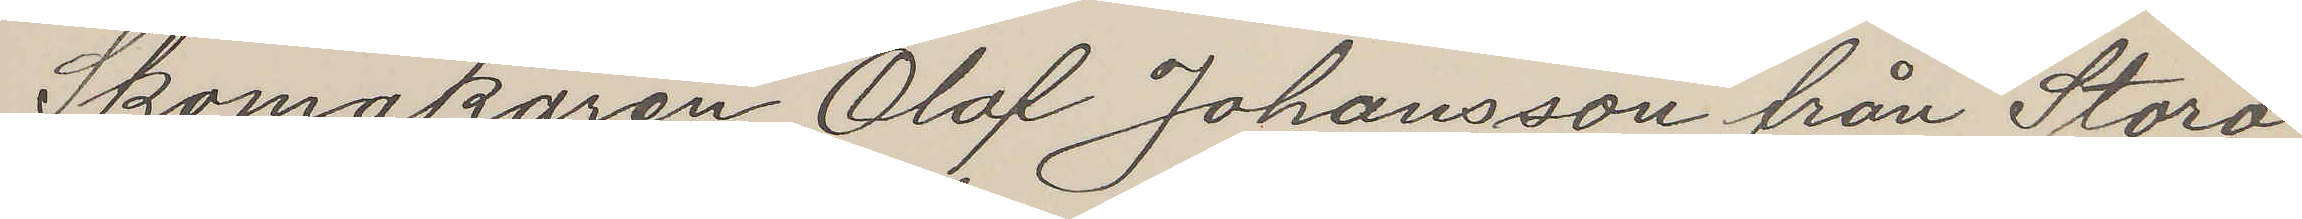Skomakaren Olof Johansson från Stora
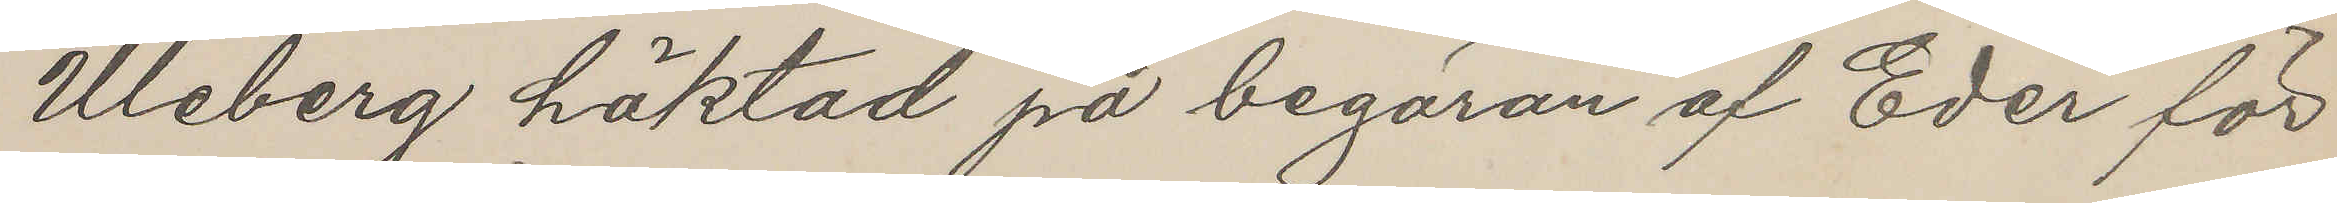Uleberg häktad på begäran af Eder för
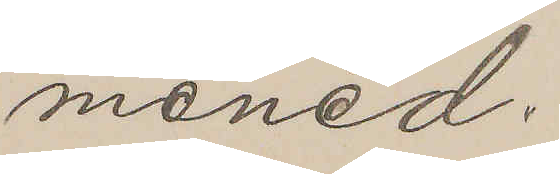mened;
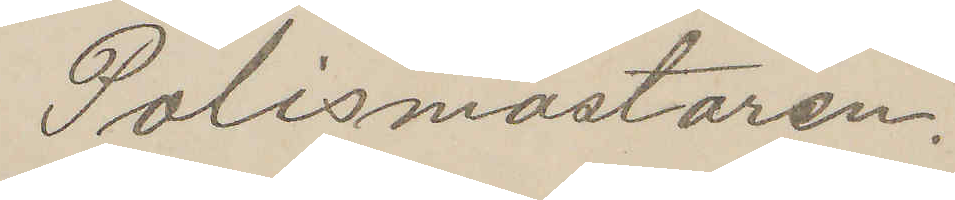Polismästaren.
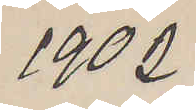1902
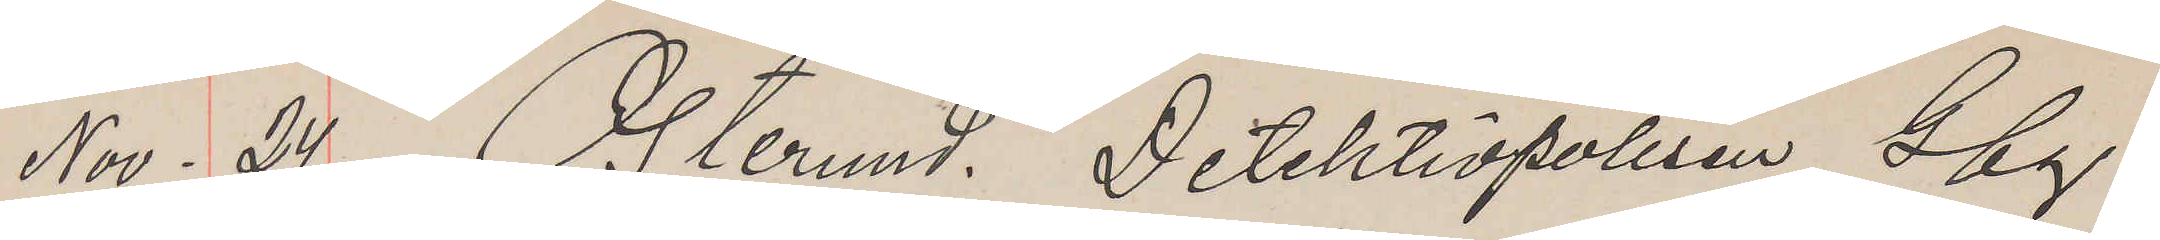Nov. 24 Östersund. Detektivpolisen Gbg.
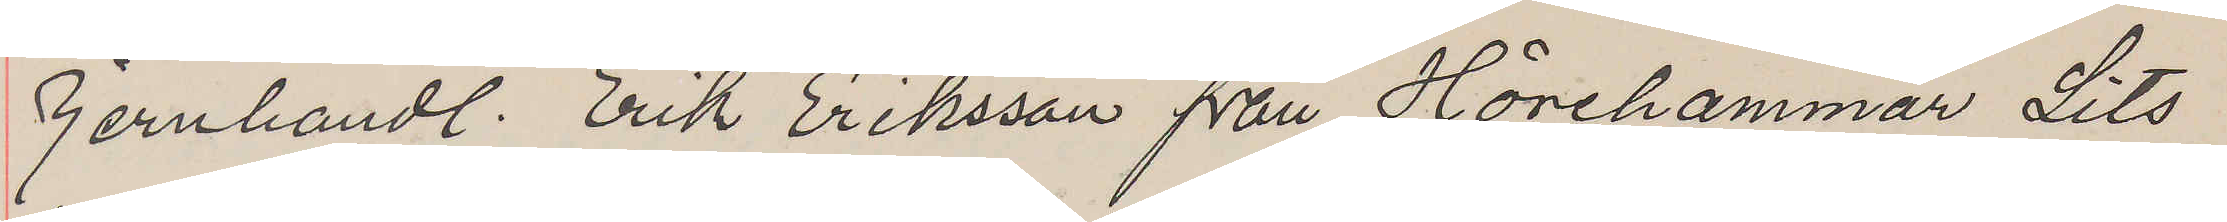Jernhandl. Erik Eriksson från Hörehammar Lits
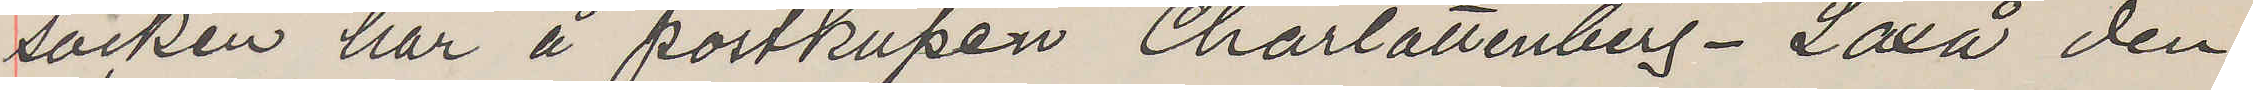socken har å postkupén Charlottenberg-Laxå den
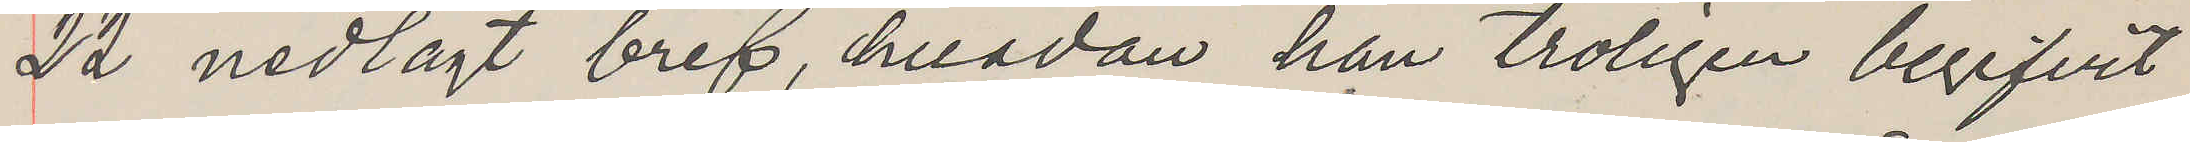22 nedlagt bref, hvadan han troligen begifvit
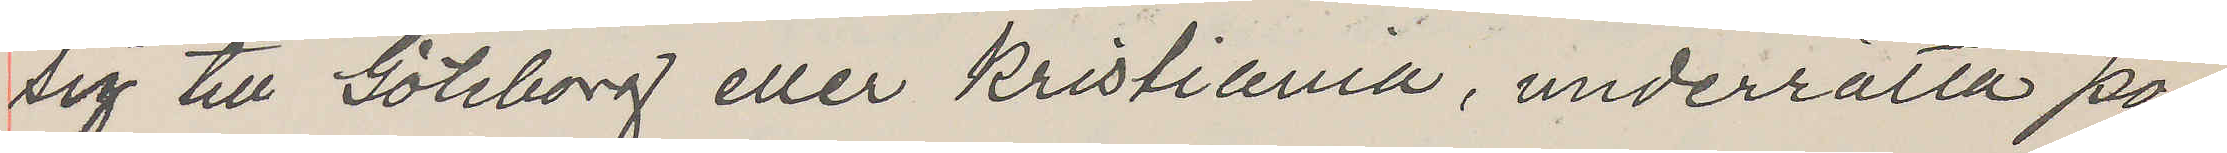sig till Göteborg eller Kristiania, underrätta po¬
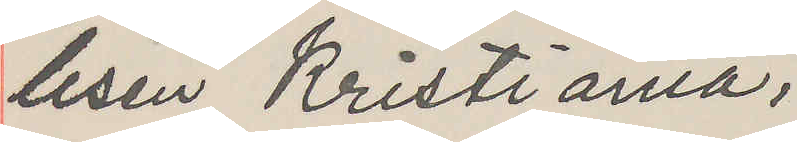lisen Kristiania;
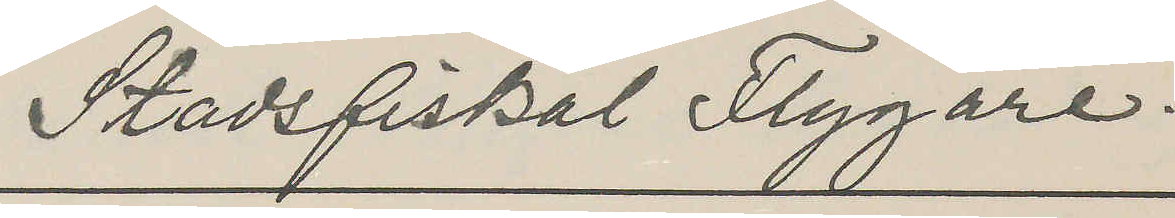Stadsfiskal Flygare.
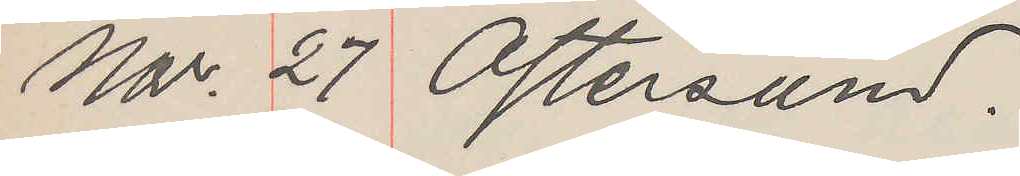Nov. 27 Östersund.
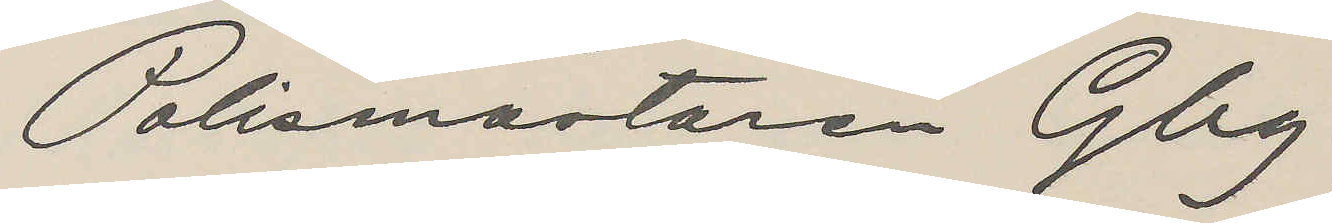Polismästaren Gbg
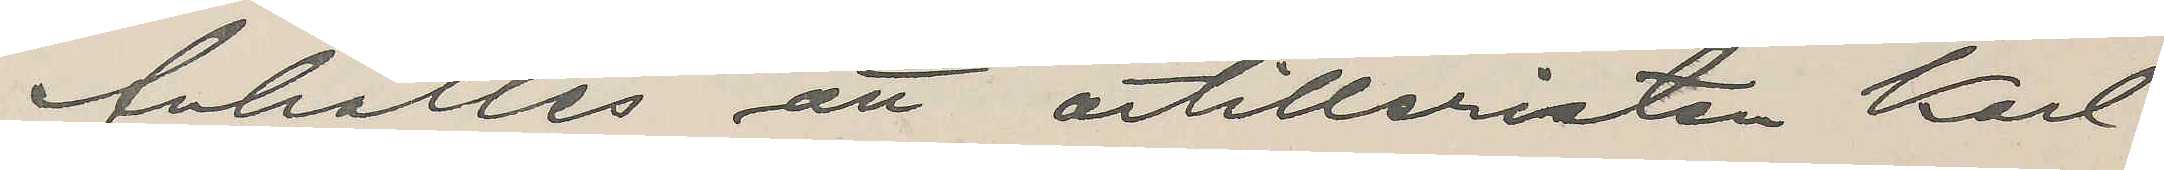Anhålles att artilleristen Karl
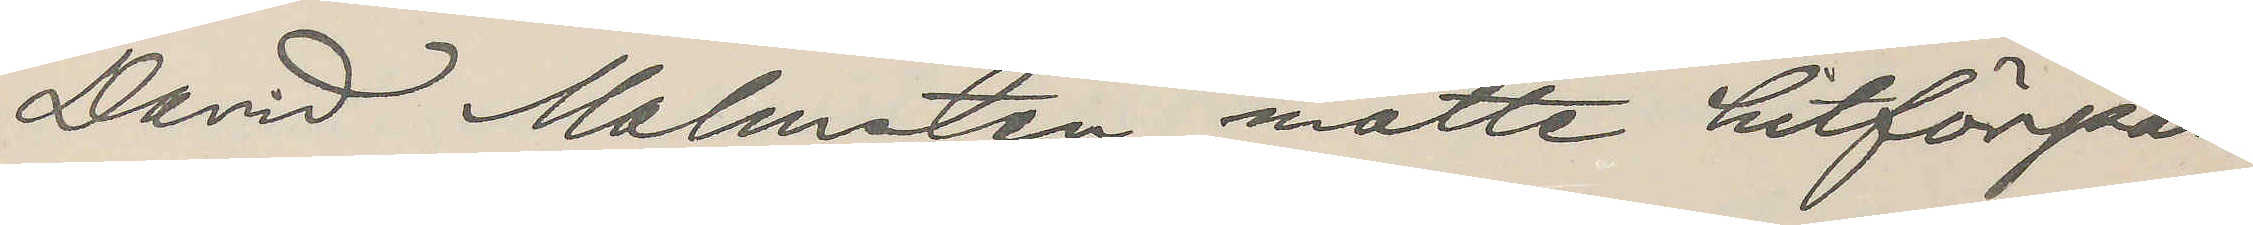David Malmsten måtte hitförpas¬
